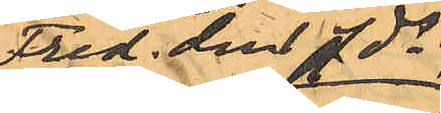Fred den 7 ds
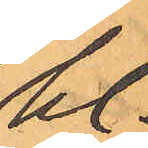kl.
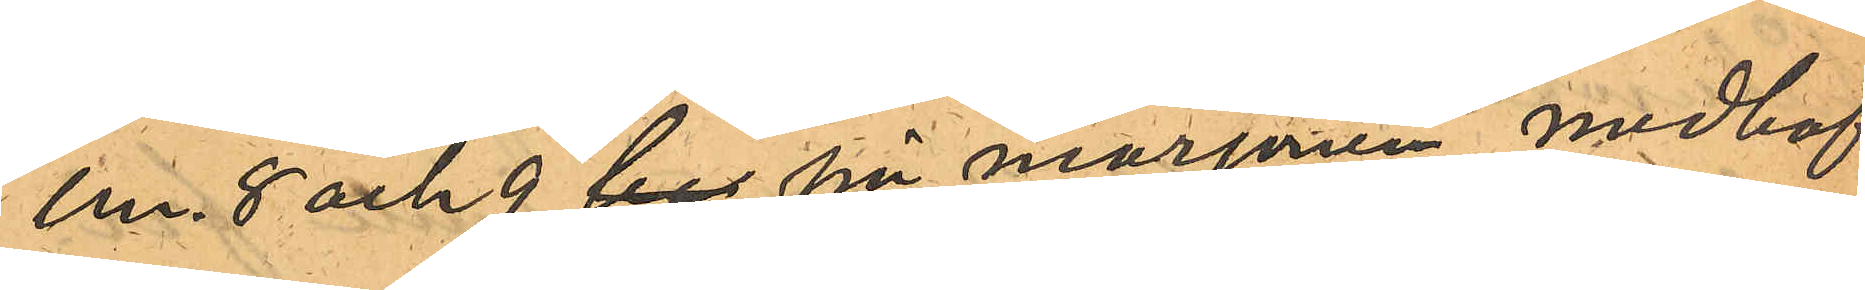em. 8 och 9 ber på morgonen medhaf¬
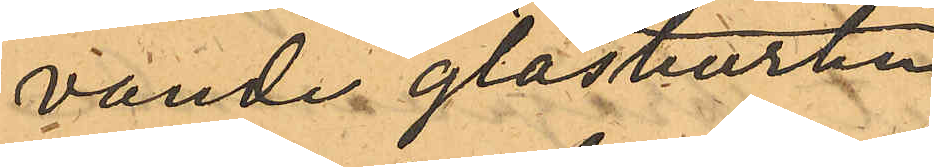vande glasburken
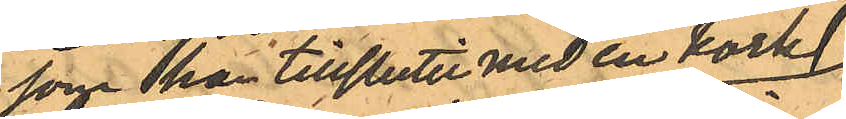som han tillslutit med en kork
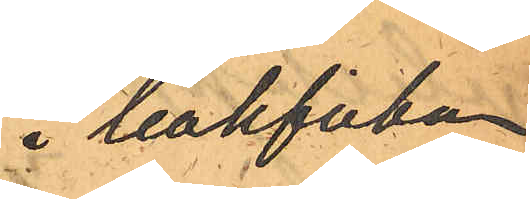i bakfickan
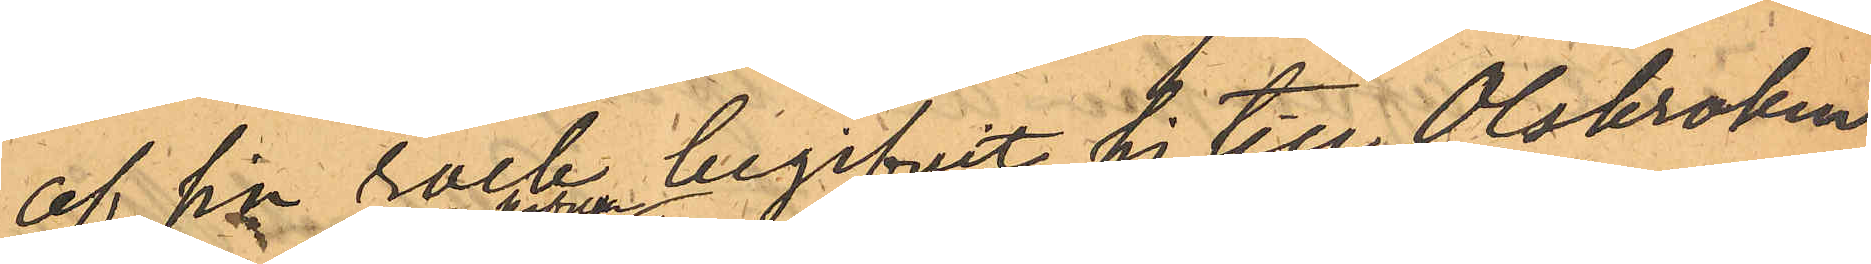af sin rock begifvit sig till Olskroken
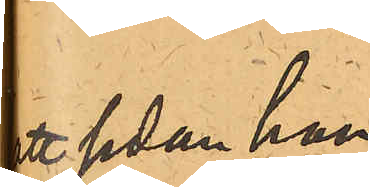att sedan han
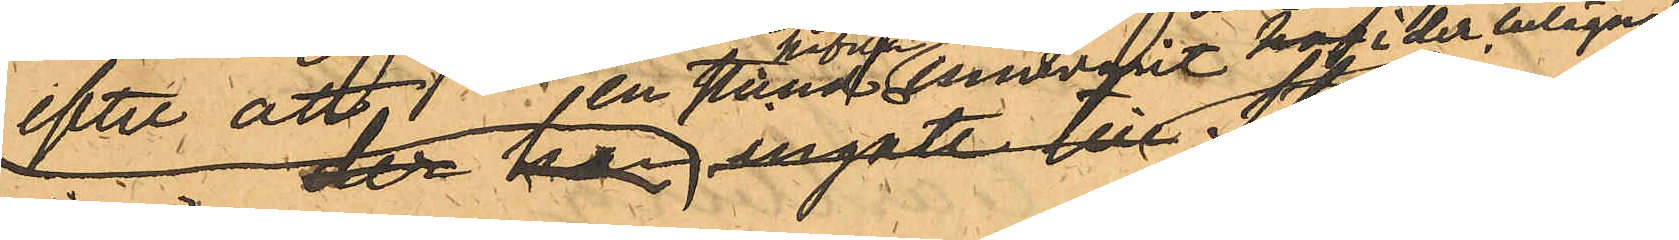efter att, en stund hafva innevarit hos i der belägna
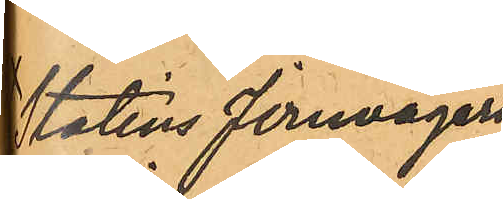Statens Jernvägars
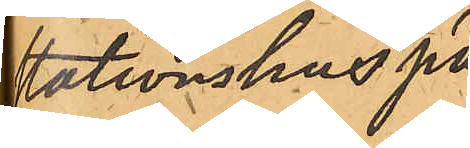Stationshus på
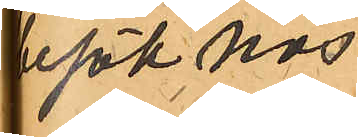besök hos
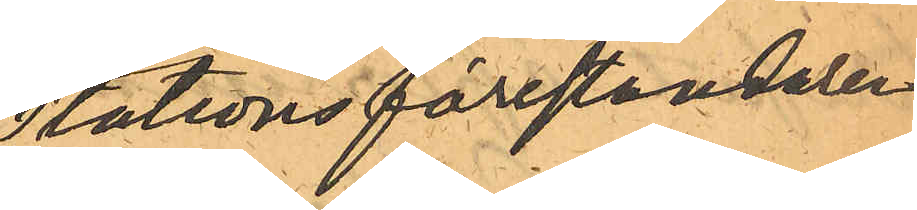Stationsföreståndaren
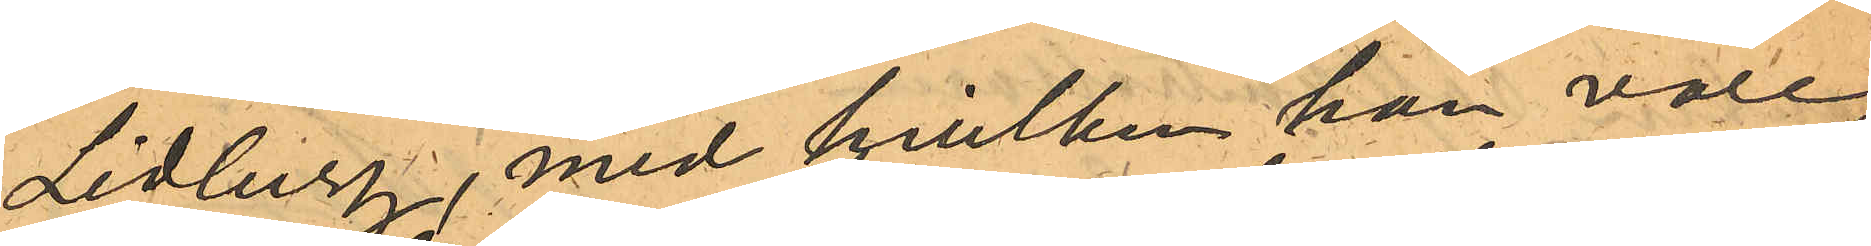Lidberg, med hvilken han vore
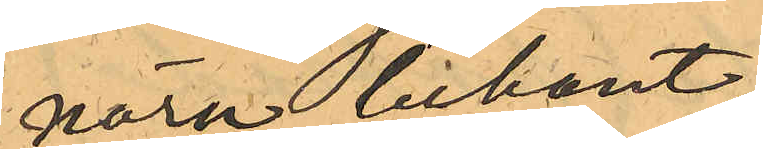nära bekant
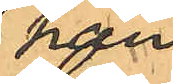han,
